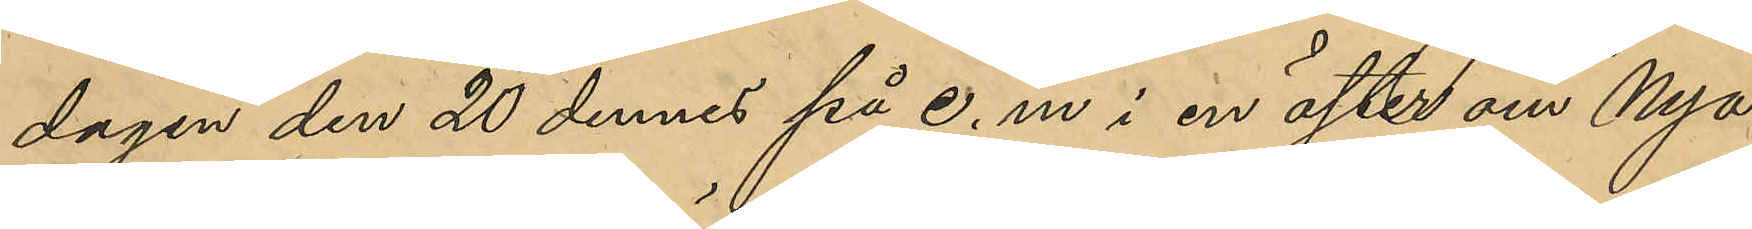dagen den 20 dennes på e.m i en öster om Nya
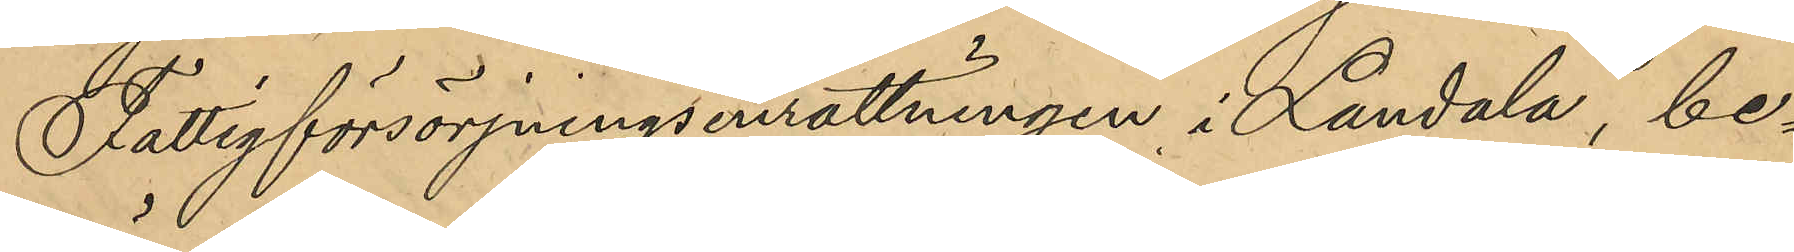Fattigförsörjningsinrättningen i Landala, be¬
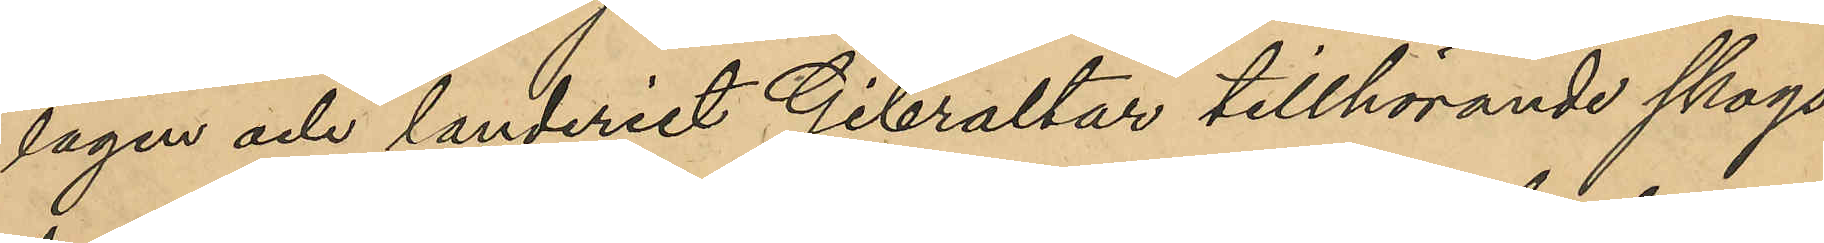lägen och landeriet Gibraltar tillhörande skogs¬
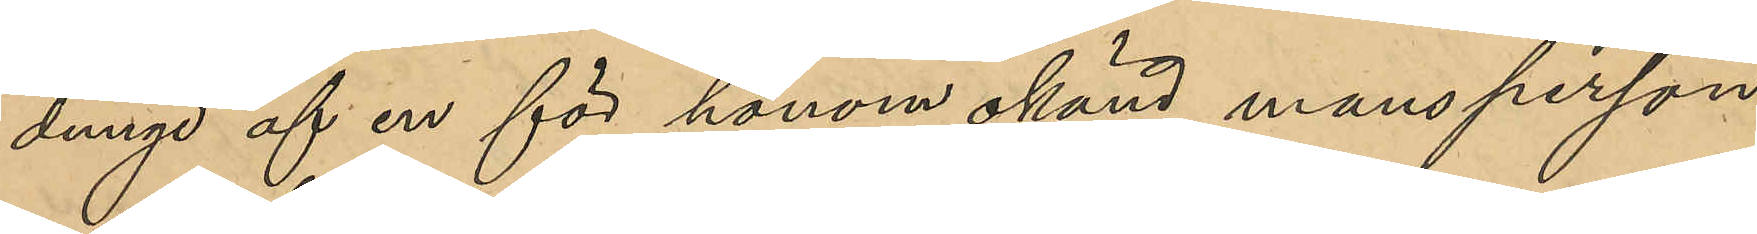dunge af en för honom okänd mansperson
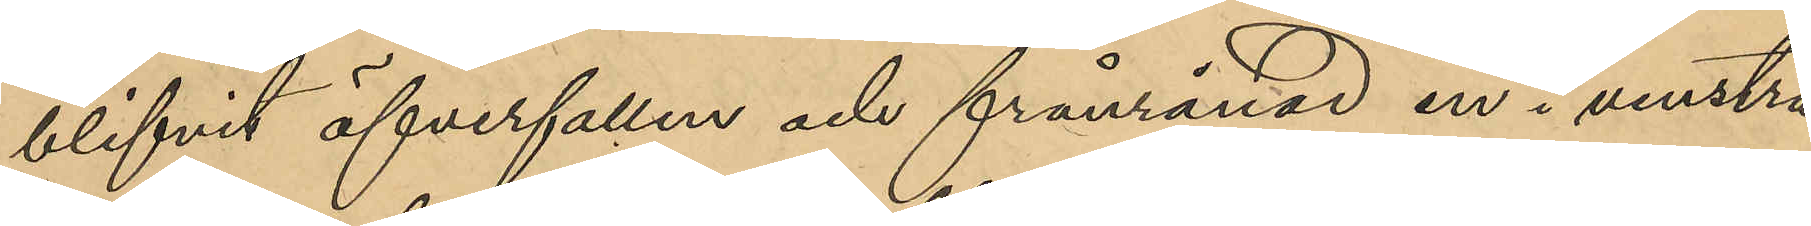blifvit öfverfallen och frånrånad en i venstra
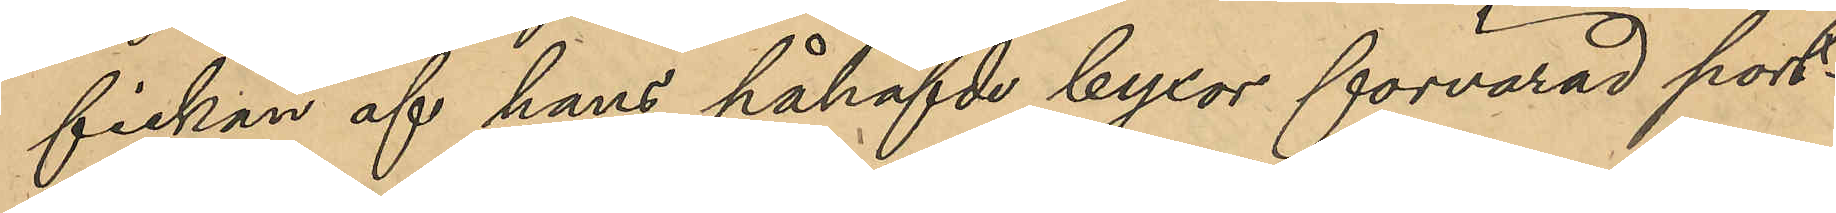fickan af hans påhafvde byxor förvarad port¬
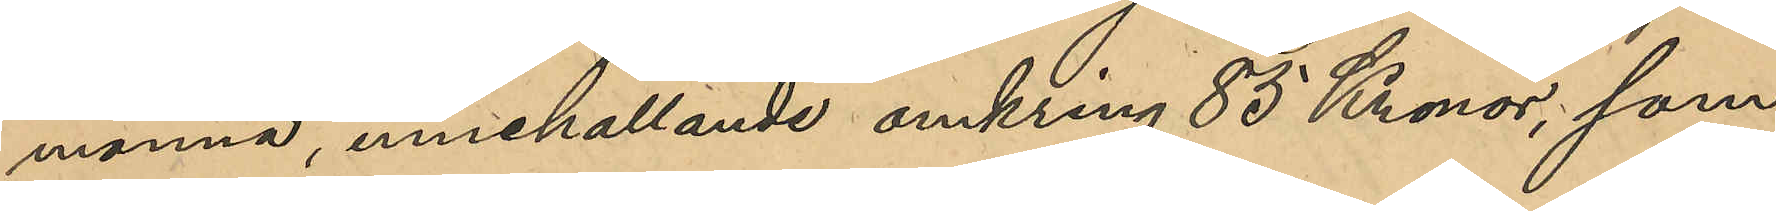monnä, innehållande omkring 85 Kronor, som
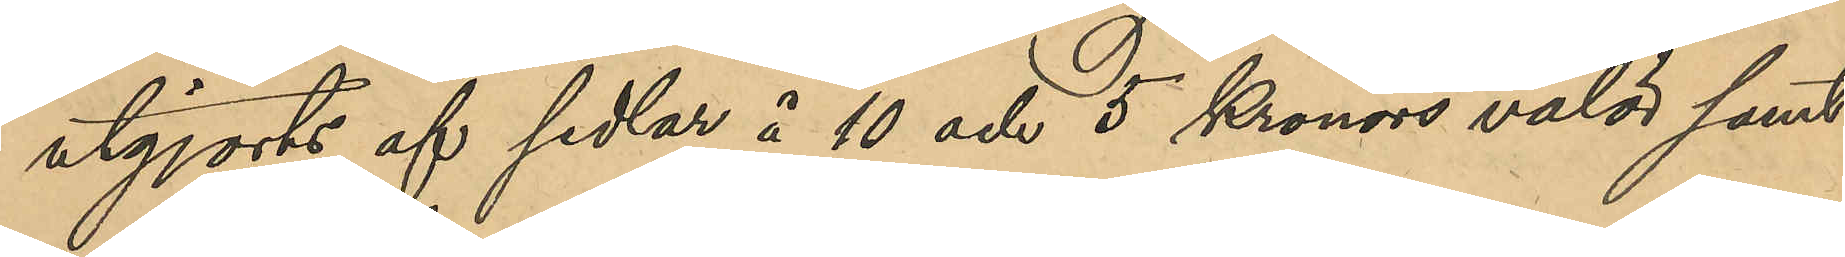utgjorts af sedlar å 10 och 5 Kronors valör samt
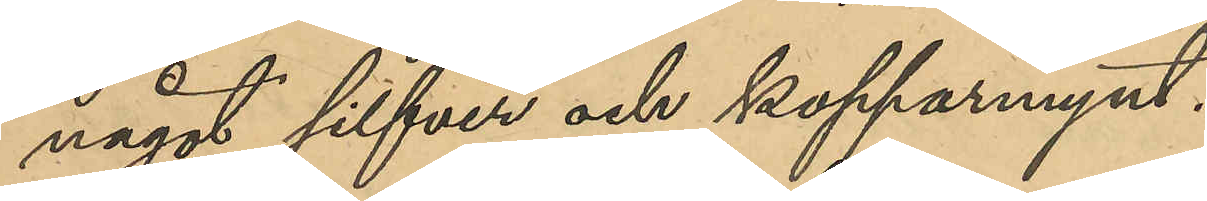något silfver och kopparmynt.
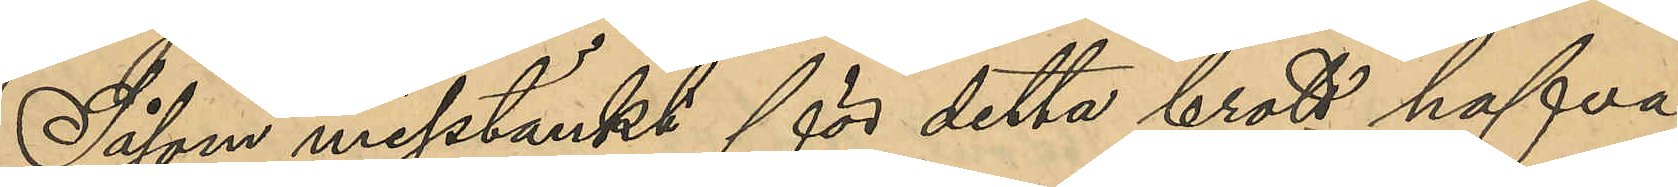Såsom misstänkt för detta brott hafva
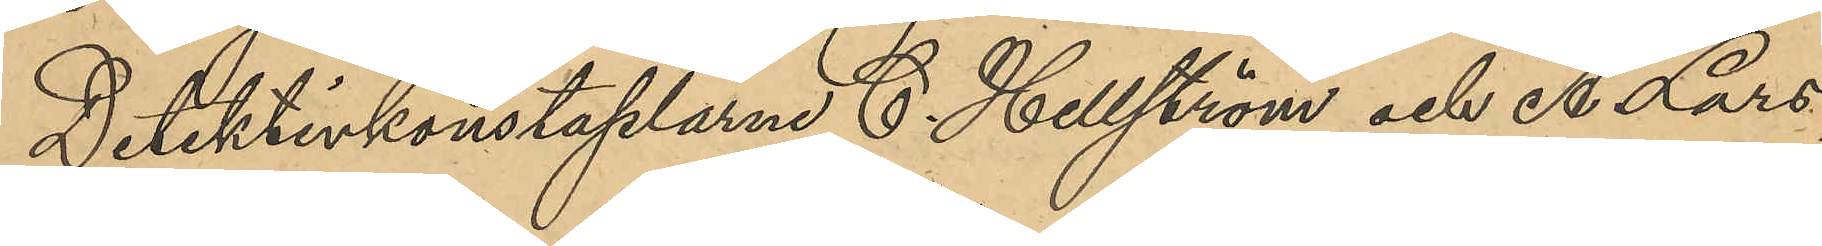Detektivkonstaplarne C. Hellström och A. Lars¬
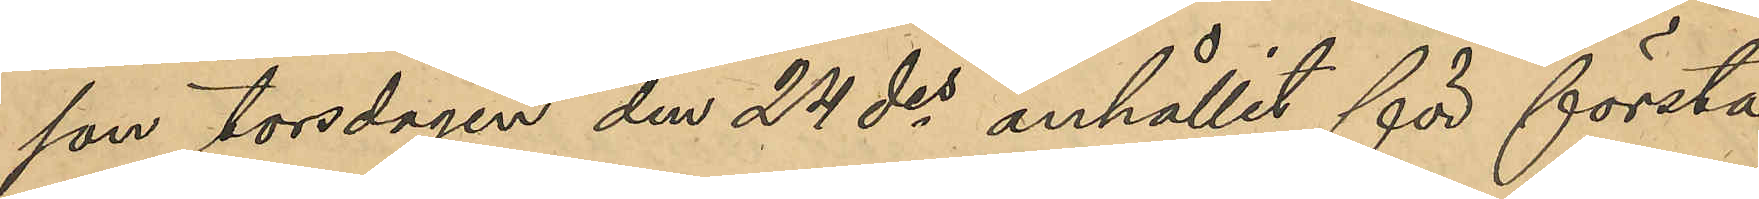son torsdagen den 24 des anhållit för första
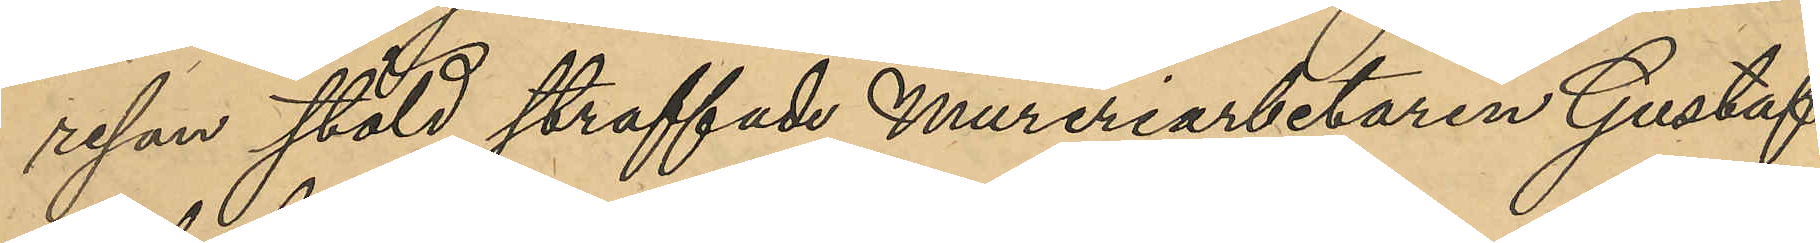resan stöld straffade Mureriarbetaren Gustaf
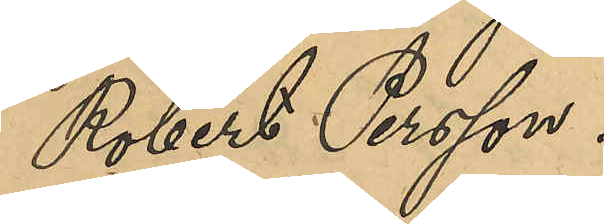Robert Persson.
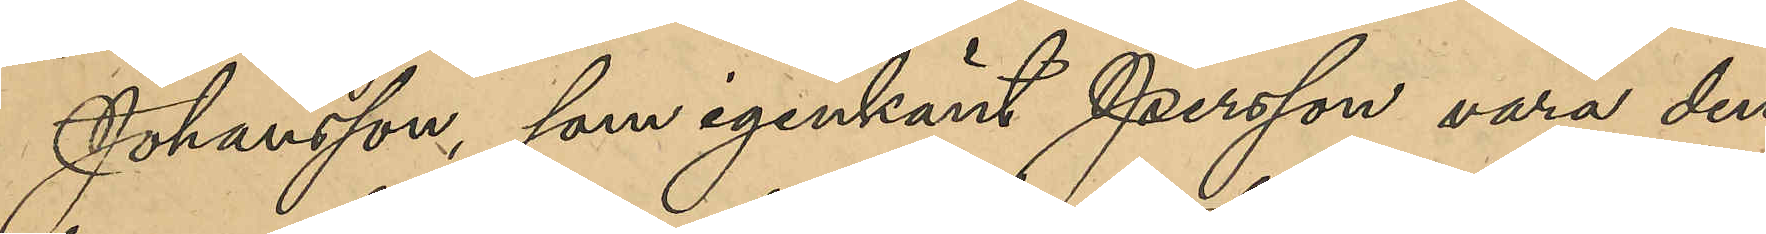Johansson, som igenkänt Persson vara den
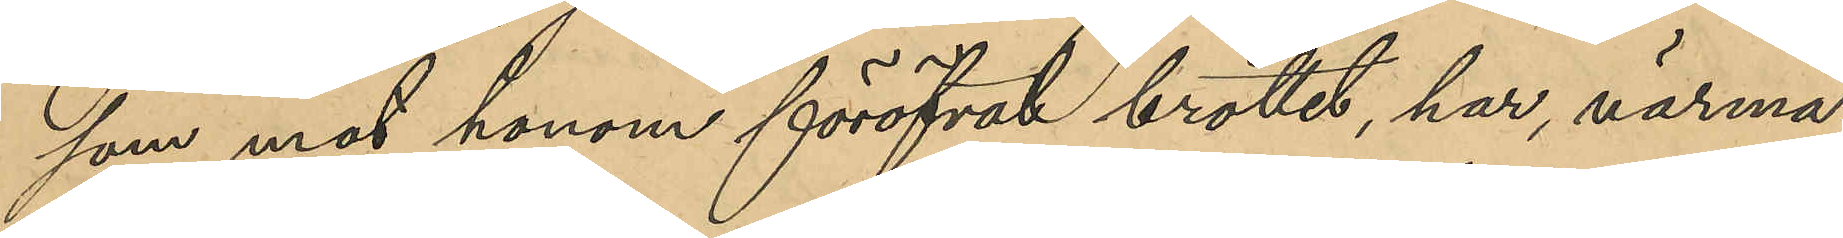som mot honom föröfvat brottet, har närma¬
